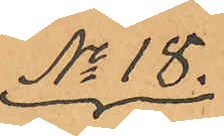No 18.
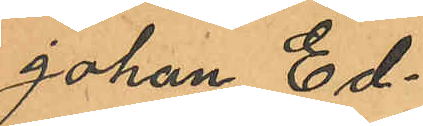Johan Ed¬
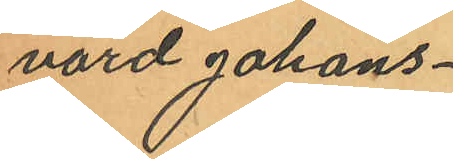vard Johans¬
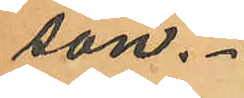son.
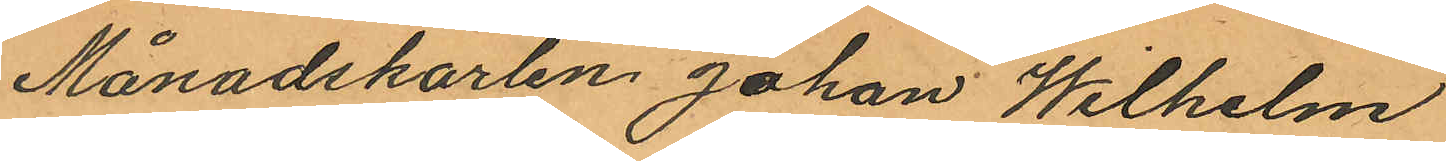Månadskarlen Johan Wilhelm
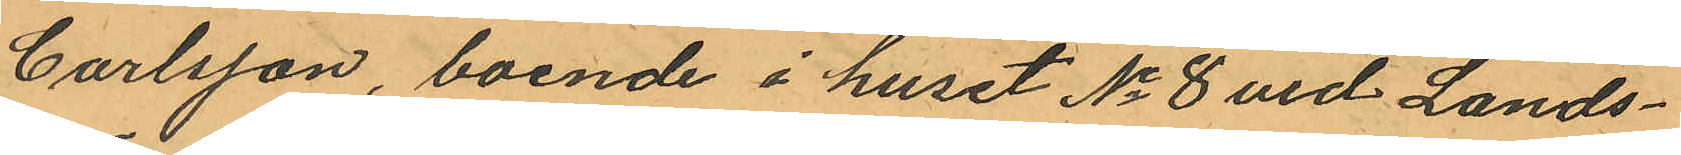Carlsson, boende i huset No 8 vid Lands¬
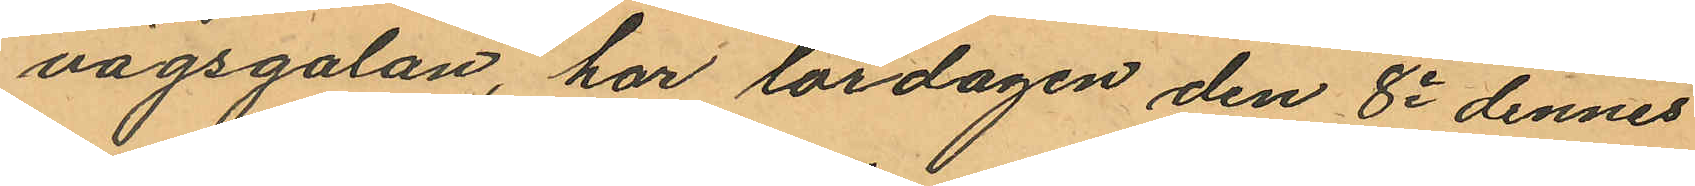vägsgatan, har lördagen den 8e dennes
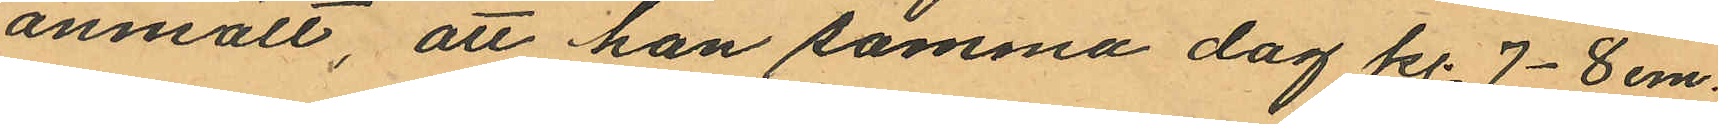anmält, att han samma dag kl. 7-8 em.
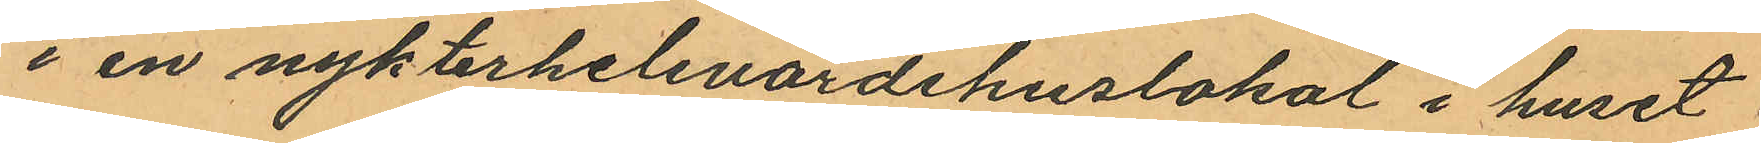i en nykterhelsvärdshuslokal i huset
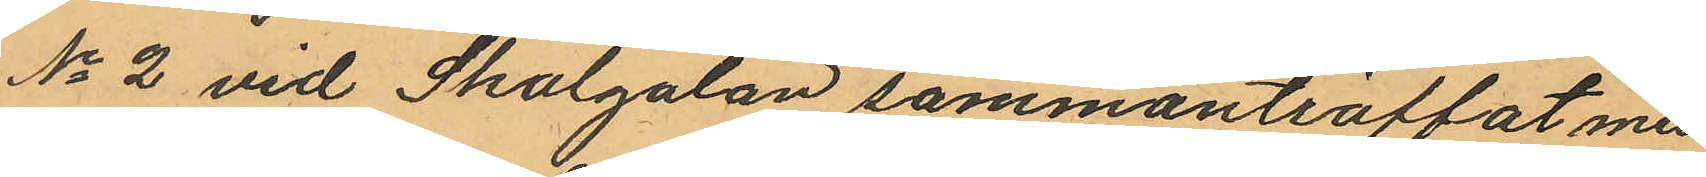No 2 vid Skolgatan sammanträffat med
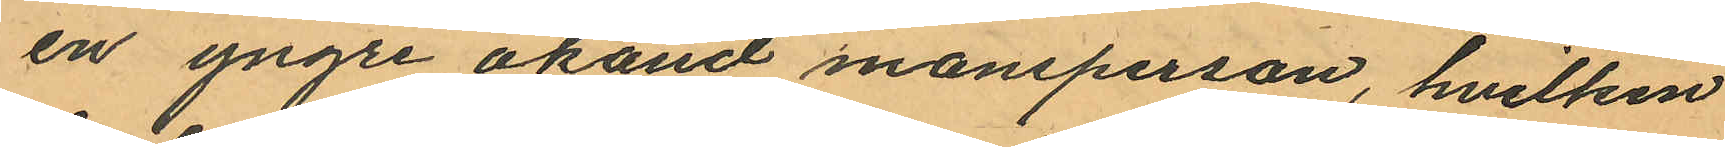en yngre okänd mansperson, hvilken
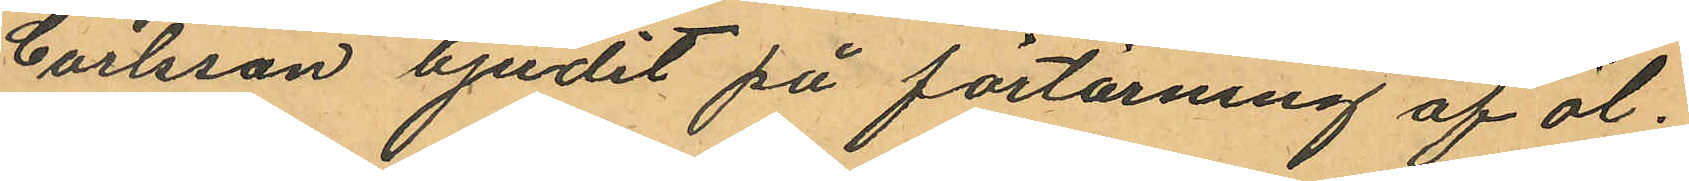Carlsson bjudit på förtärning af öl;
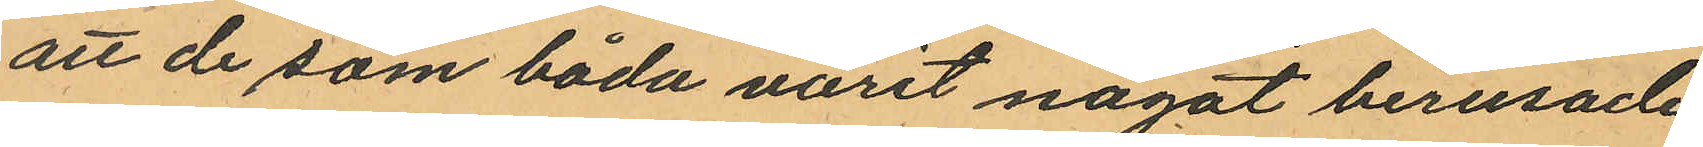att de, som båda varit något berusade
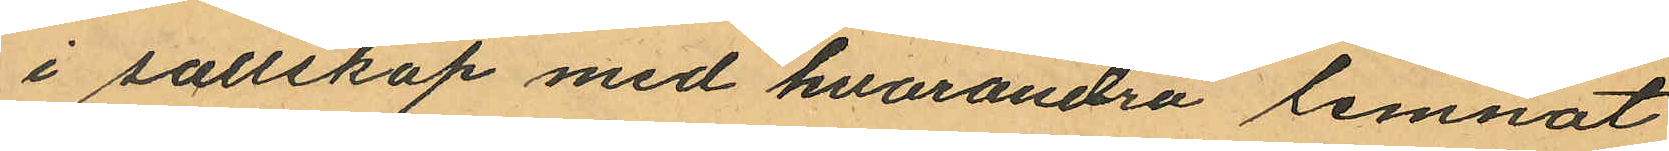i sallskap med hvarandra lemnat
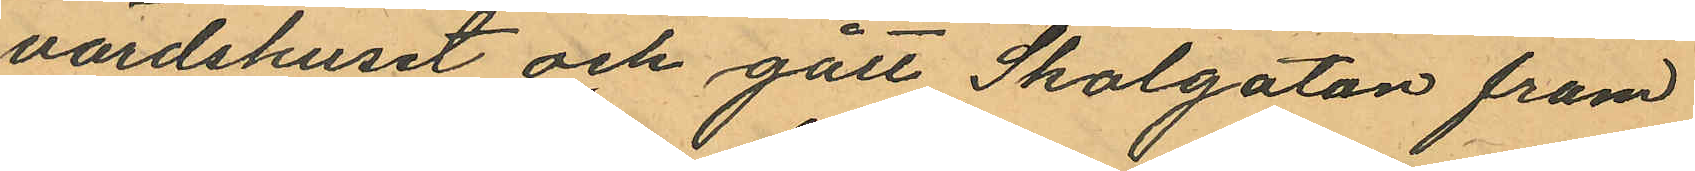värdshuset och gått Skolgatan fram
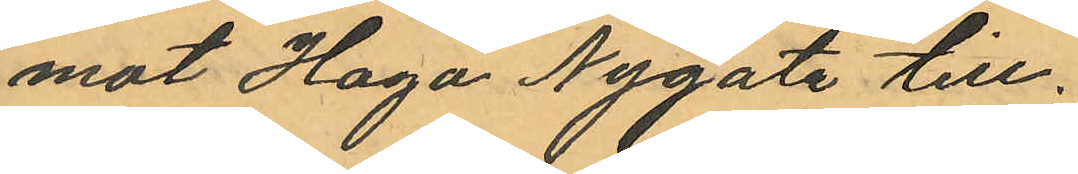mot Haga Nygata till;
